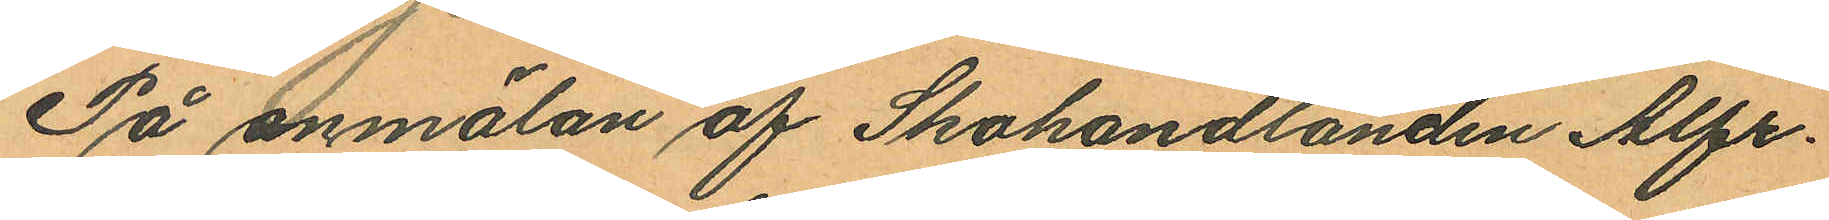På anmälan af Skohandlanden Alfr.
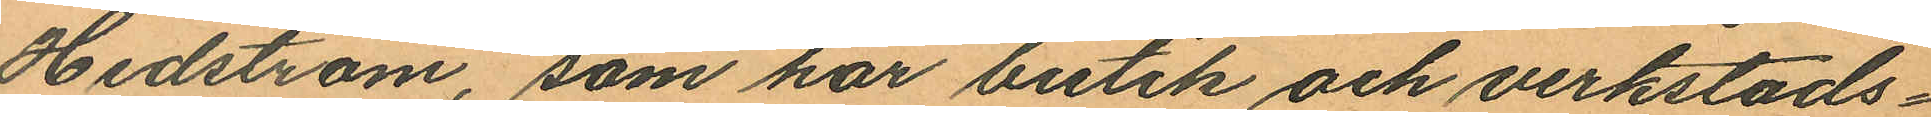Hedström, som har butik och verkstads¬
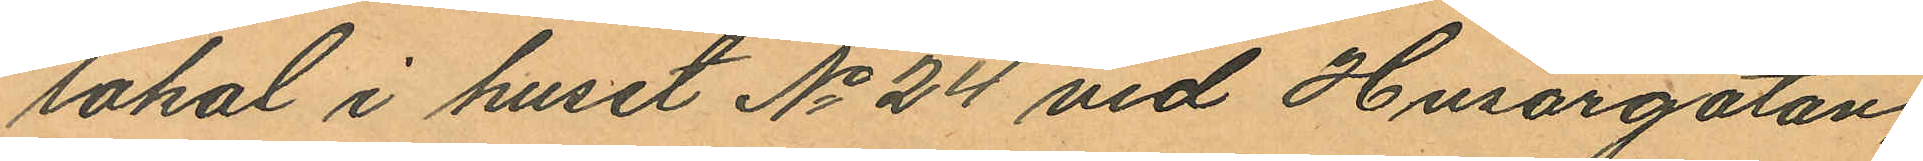lokal i huset No 24 vid Husargatan,
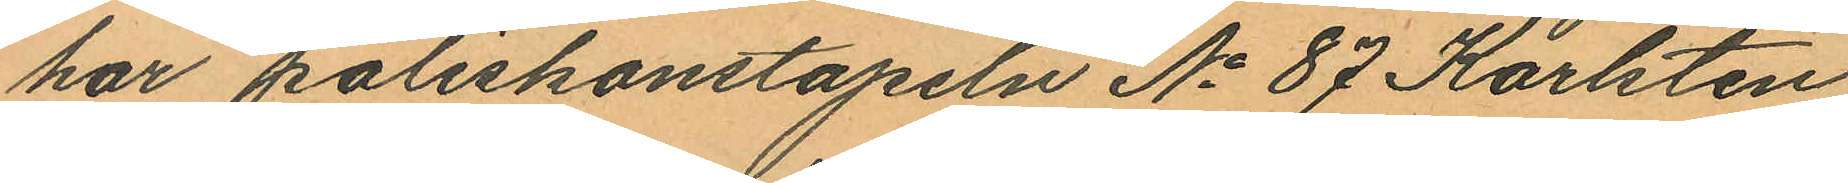har poliskonstapeln No 87 Karlsten
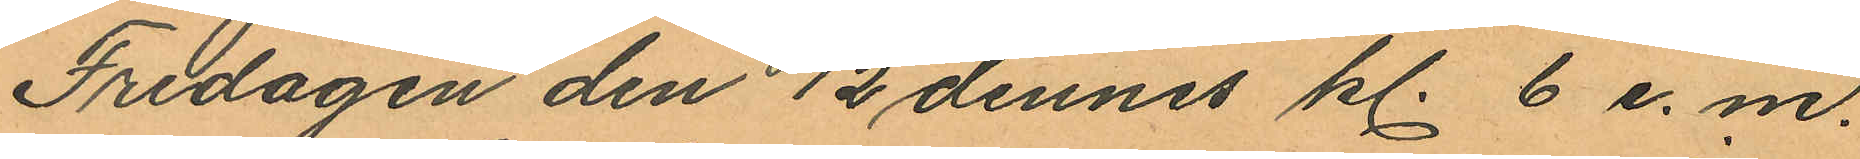Fredagen den 12 dennes kl. 6 e. m.
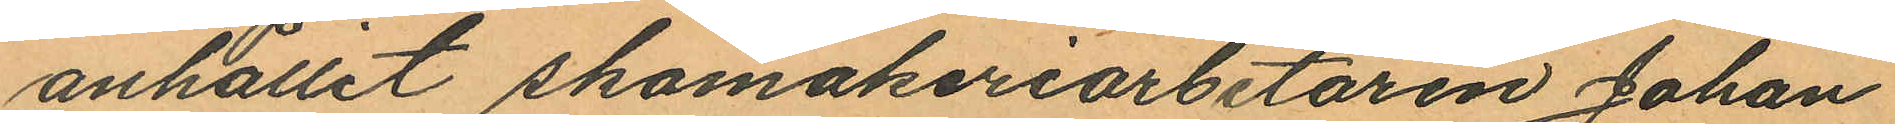anhållit skomakeriarbetaren Johan
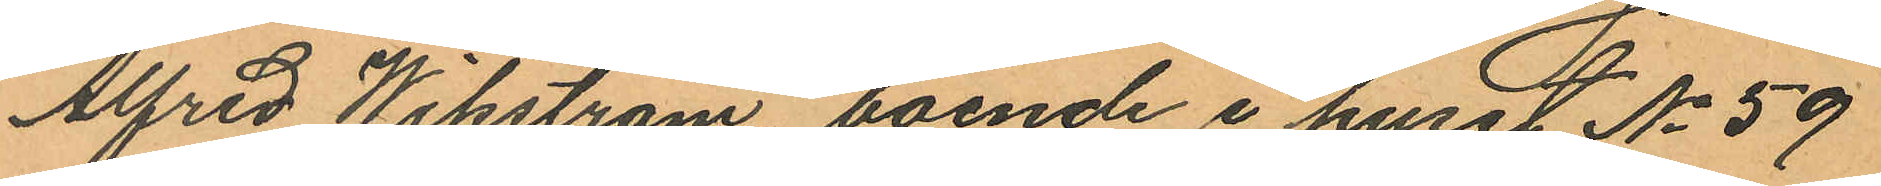Alfred Wikström, boende i huset No 59
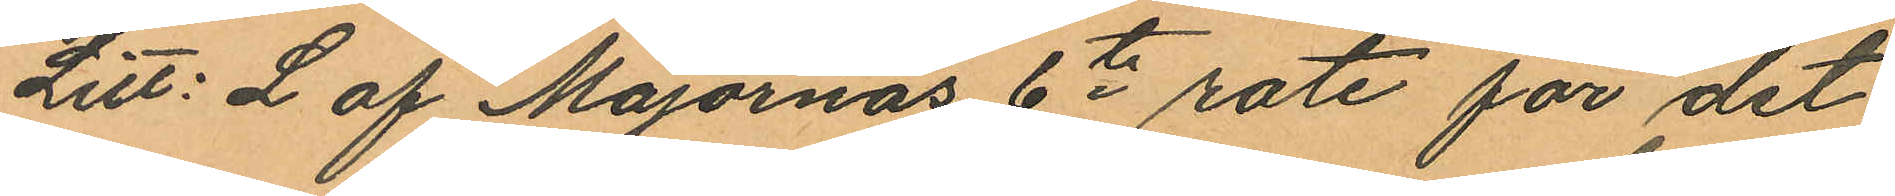Litt: L af Majornas 6te rote för det
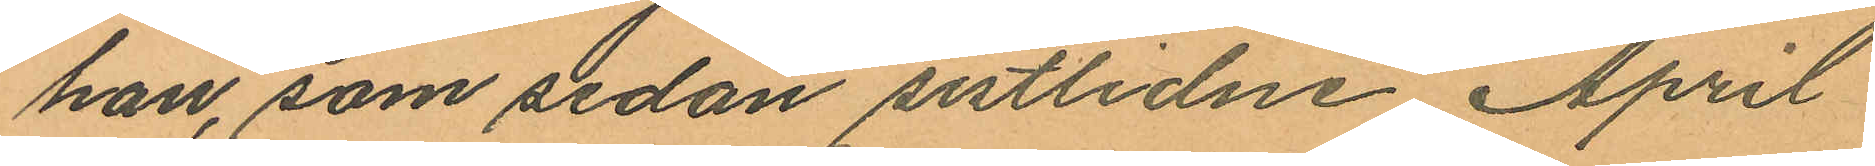han, som sedan sistlidne April
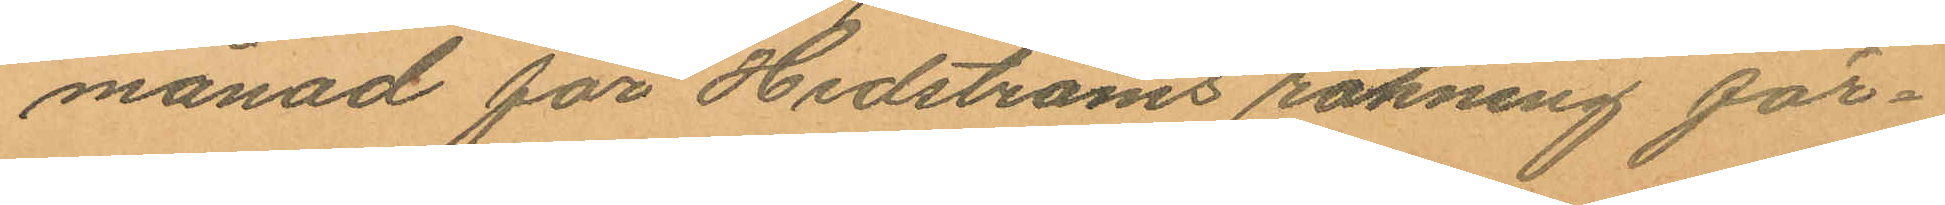månad för Hedströms räkning för¬
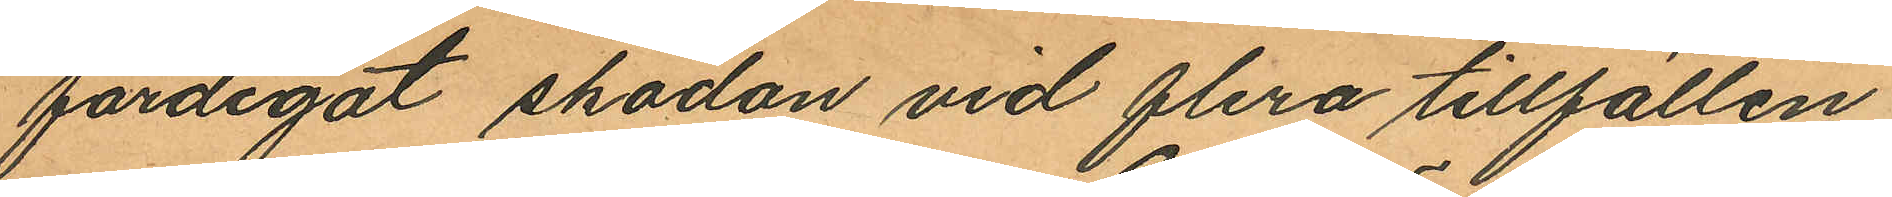färdigat skodon vid flera tillfällen
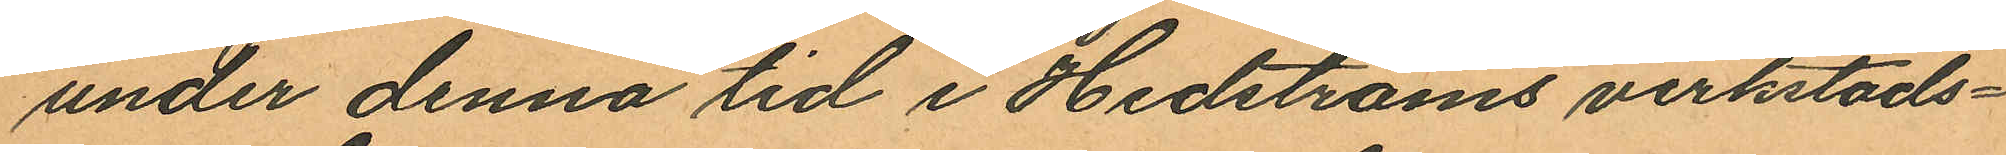under denna tid i Hedströms verkstads¬
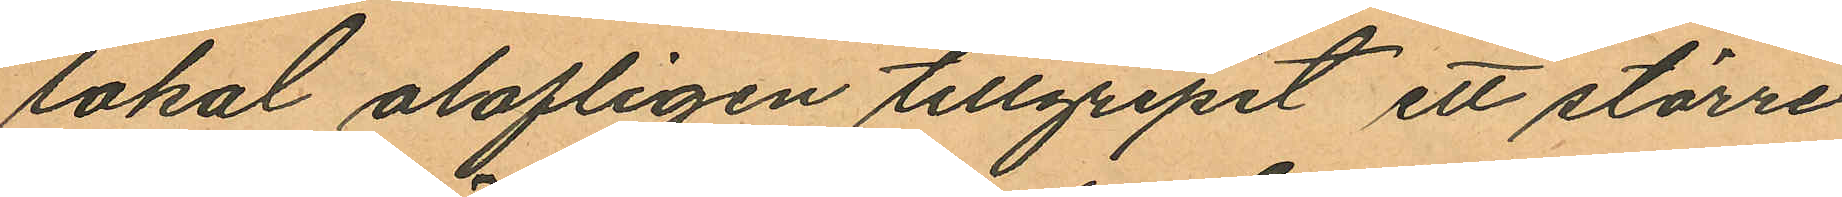lokal olofligen tillgripit ett större
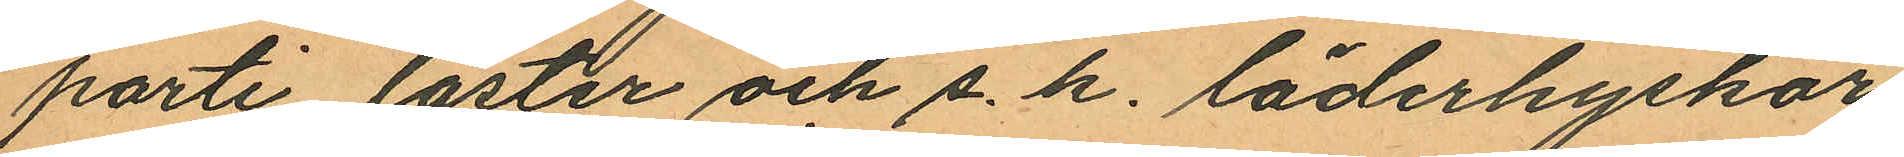parti läster och s. k. läderhyskor
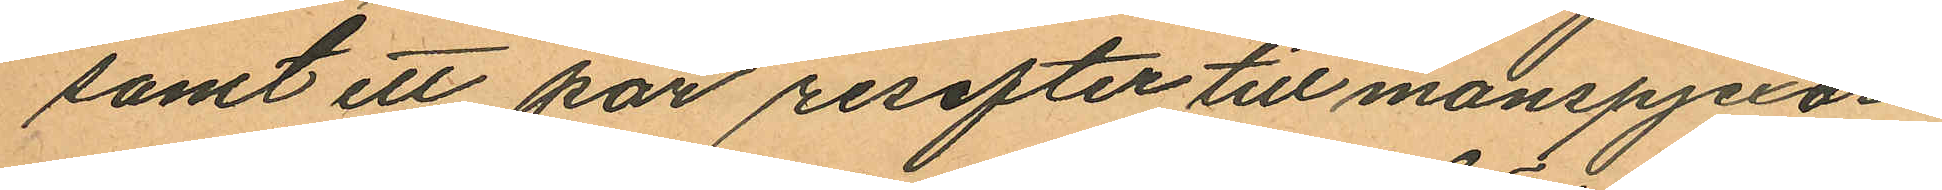samt ett par resefter till manspjexor.
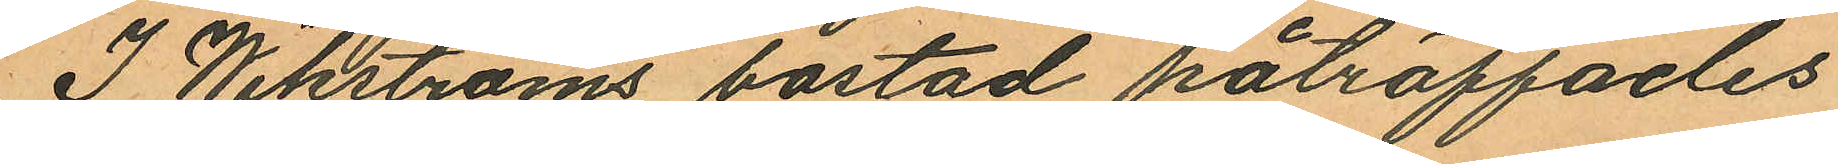I Wikströms bostad påträffades
